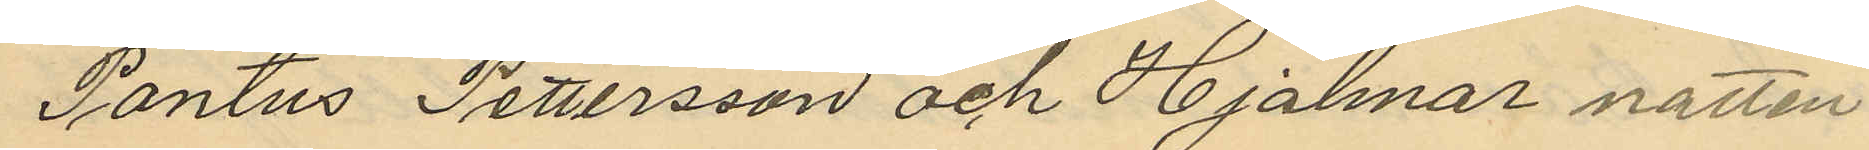Pontus Pettersson och Hjalmar natten
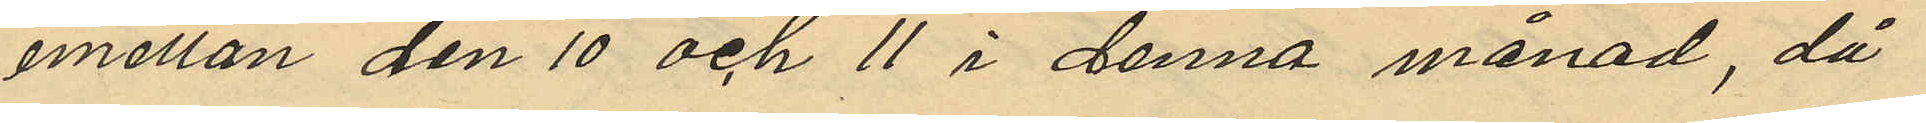emellan den 10 och 11 i denna månad, då
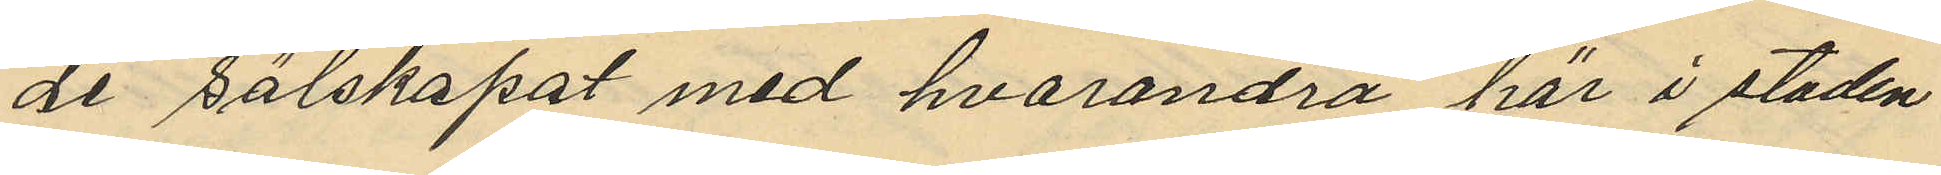de sälskapat med hvarandra här i staden
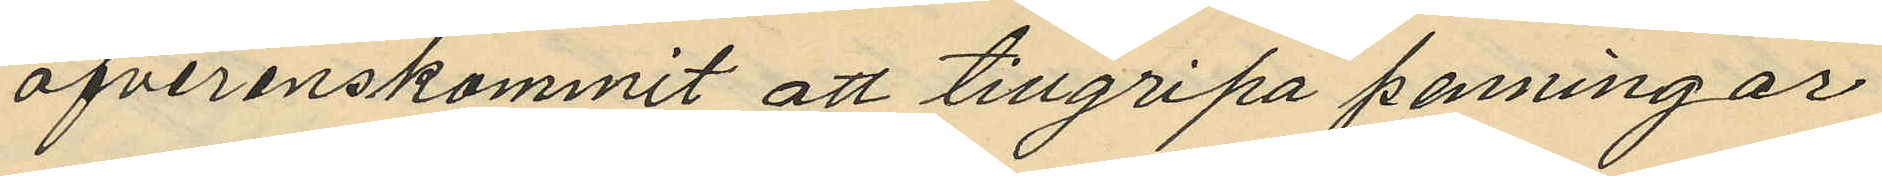öfverenskommit att tillgripa penningar
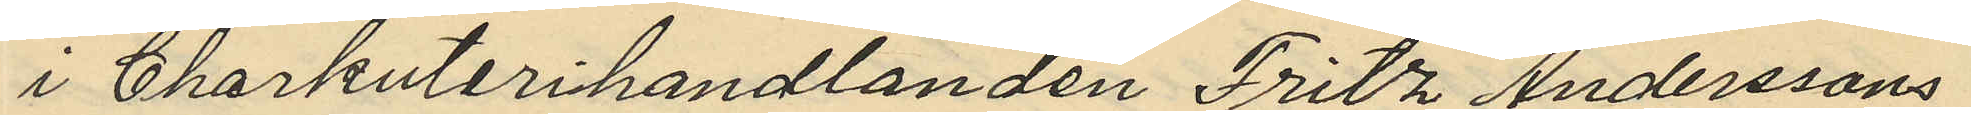i Charkuterihandlanden Fritz Anderssons
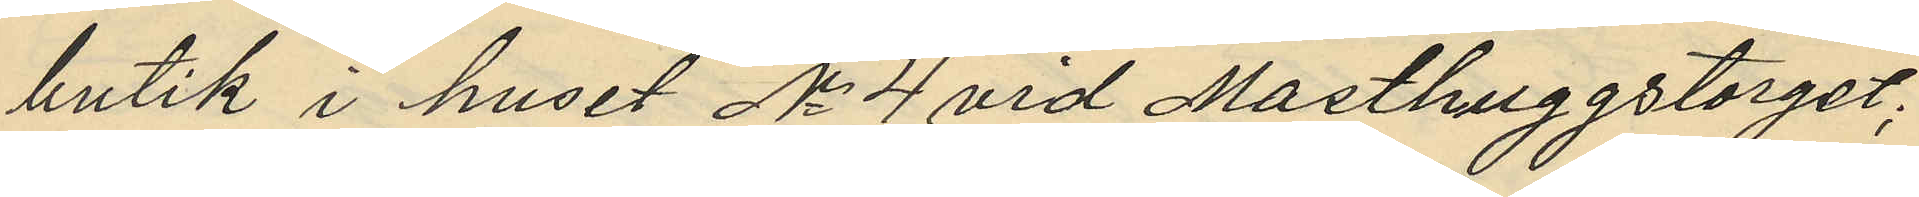butik i huset No 4 vid Masthuggstorget;
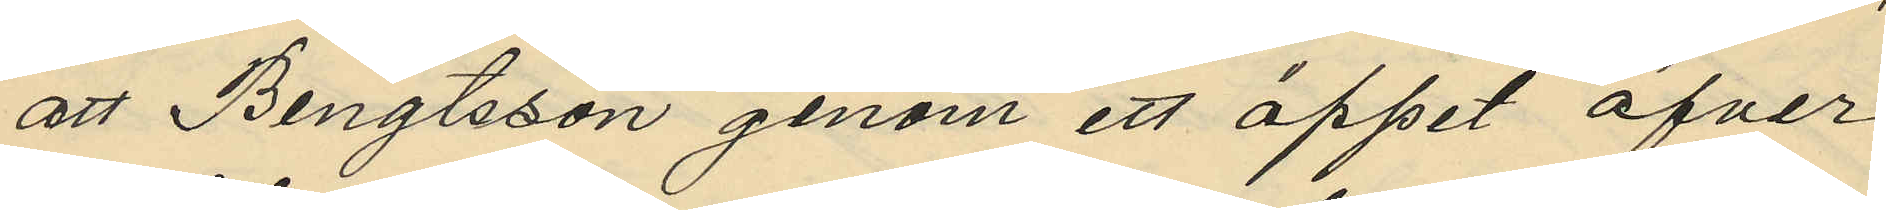att Bengtsson genom ett öppet öfver
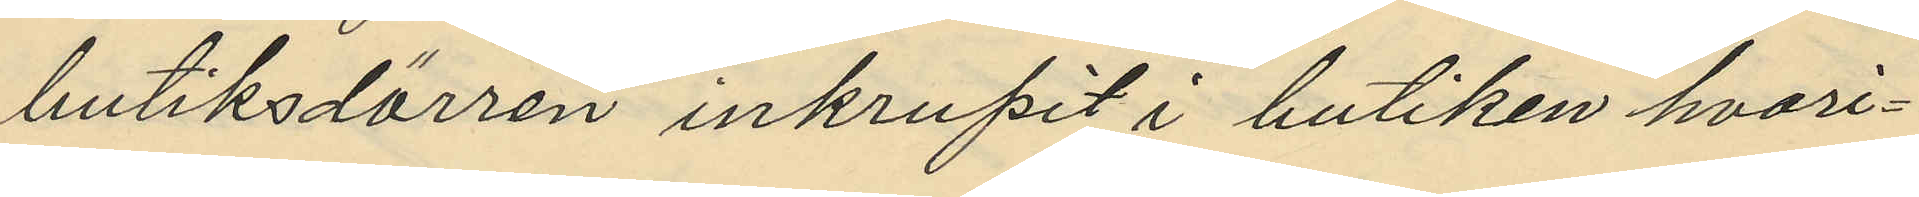butiksdörren inkrupit i butiken hvari¬
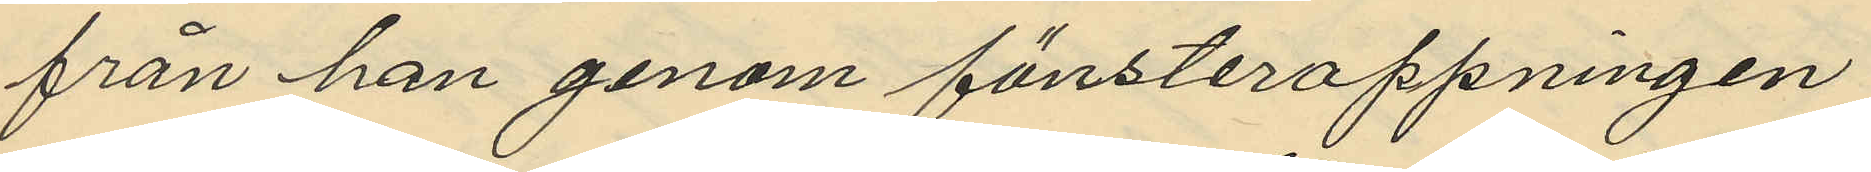från han genom fönsteröppningen
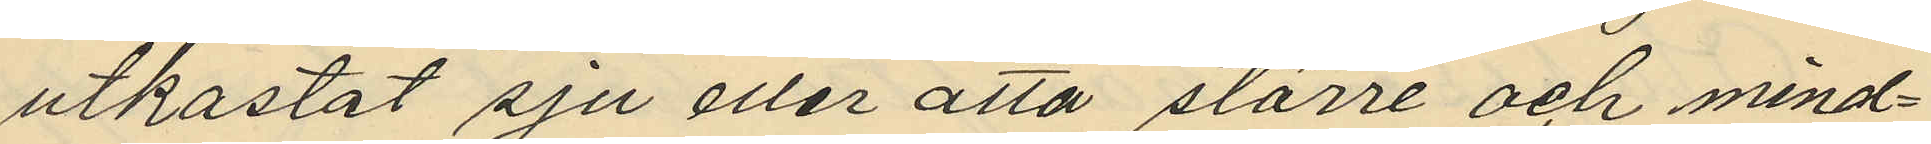utkastat sju eller åtta större och mind¬
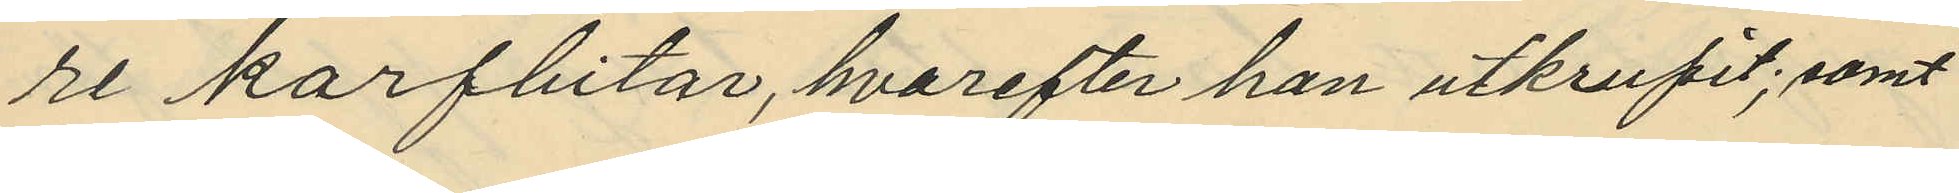re korfbitar, hvarefter han utkrupit; samt
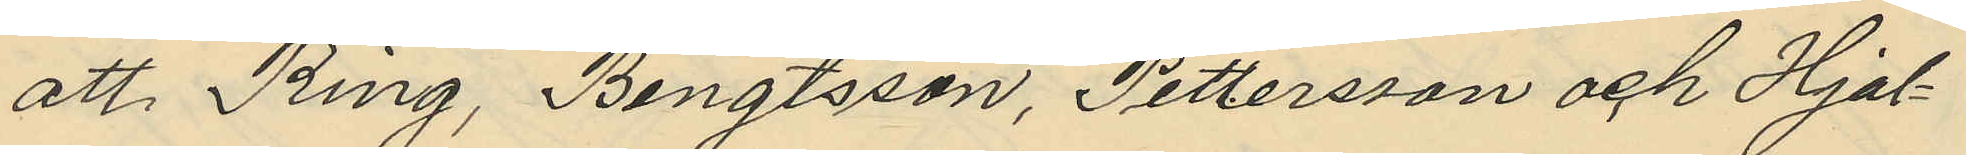att Ring, Bengtsson, Pettersson och Hjal¬
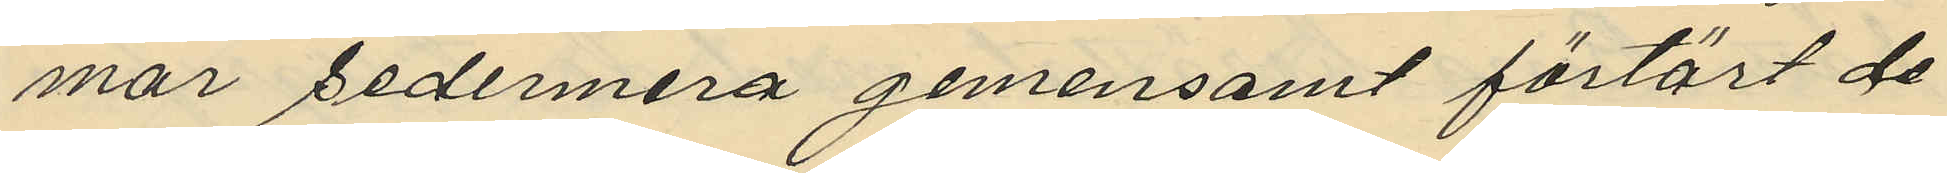mar sedermera gemensamt förtärt de
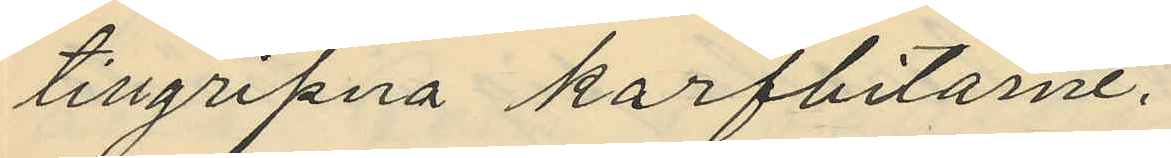tillgripna korfbitarne.
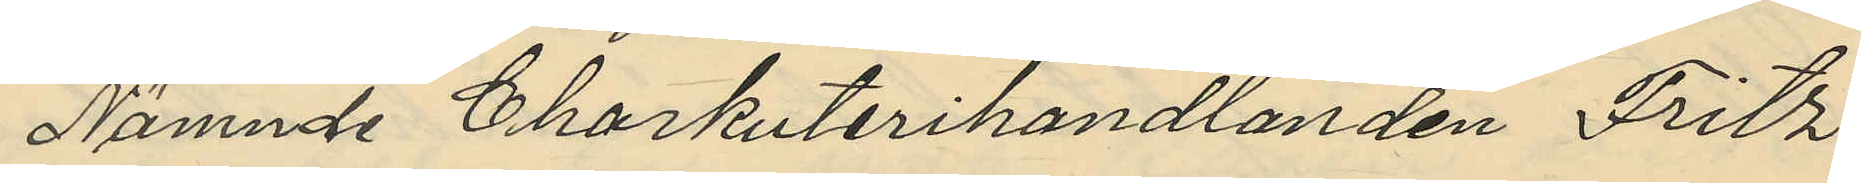Nämnde Charkuterihandlanden Fritz
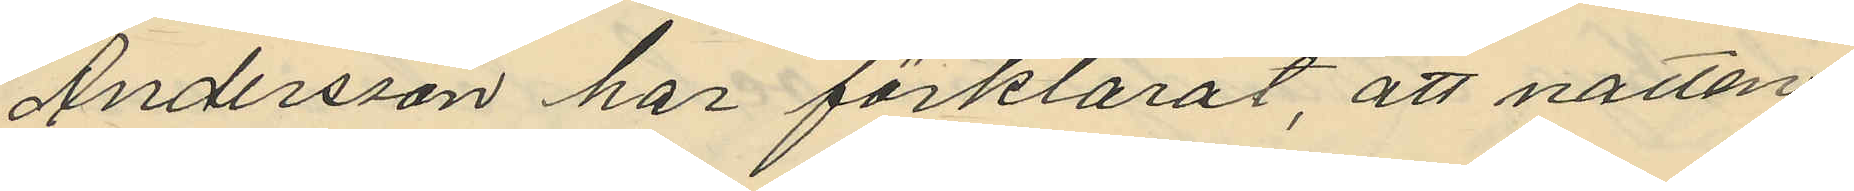Andersson har förklarat, att natten
